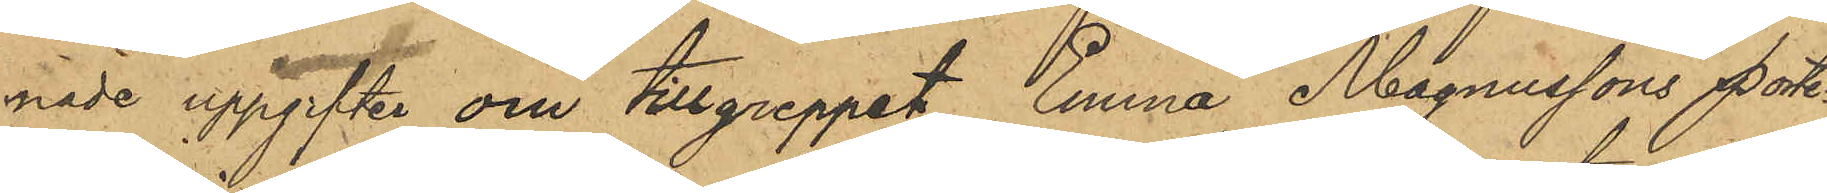nade uppgifter om tillgreppet Emma Magnussons porte¬
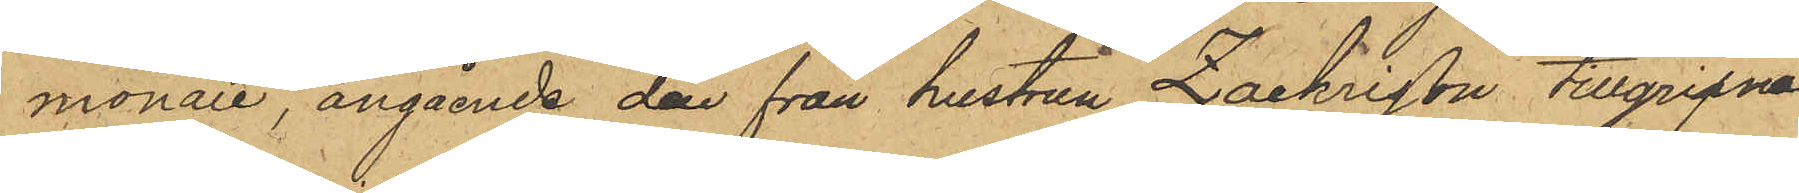monaie, angående den från hustrun Zachrison tillgripna
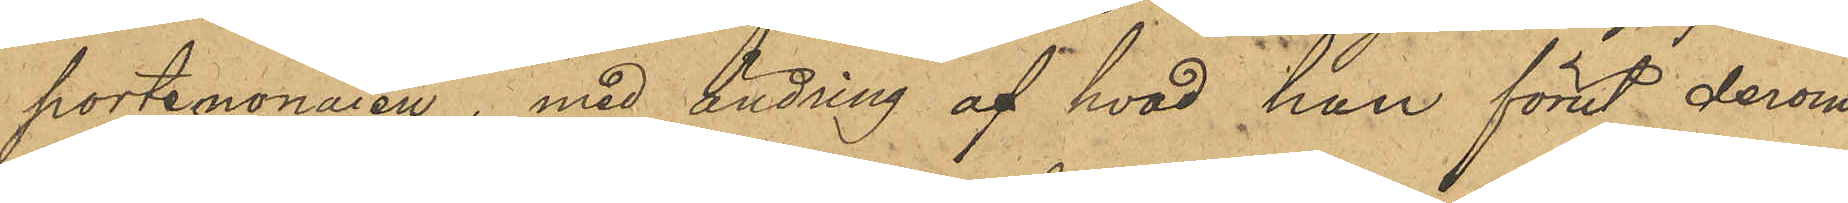portemonaien, med ändring af hvad han förut derom
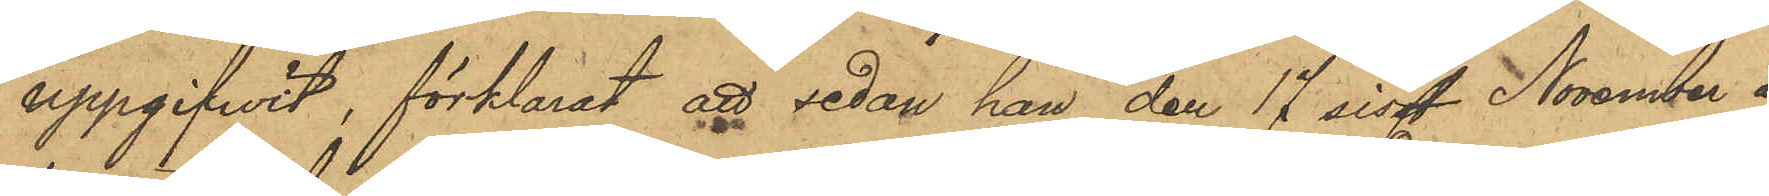uppgifvit, förklarat att sedan han den 17 sist. November å
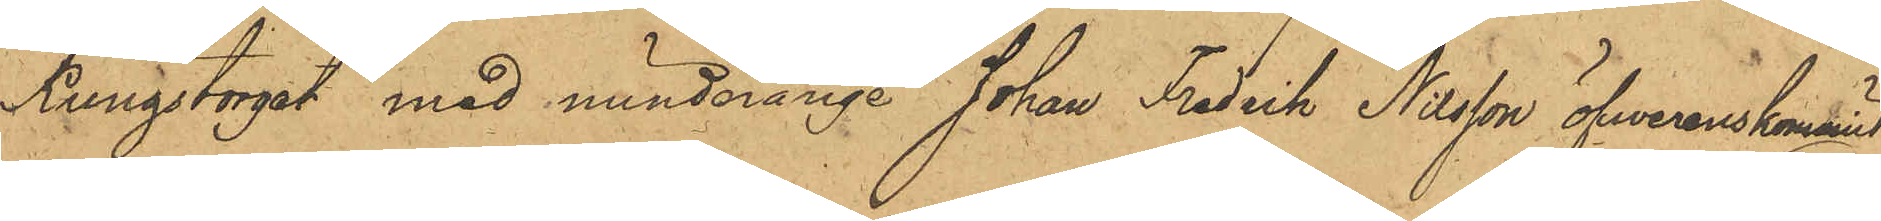Kungstorget med minderårige Johan Fredrik Nilsson öfverenskommit
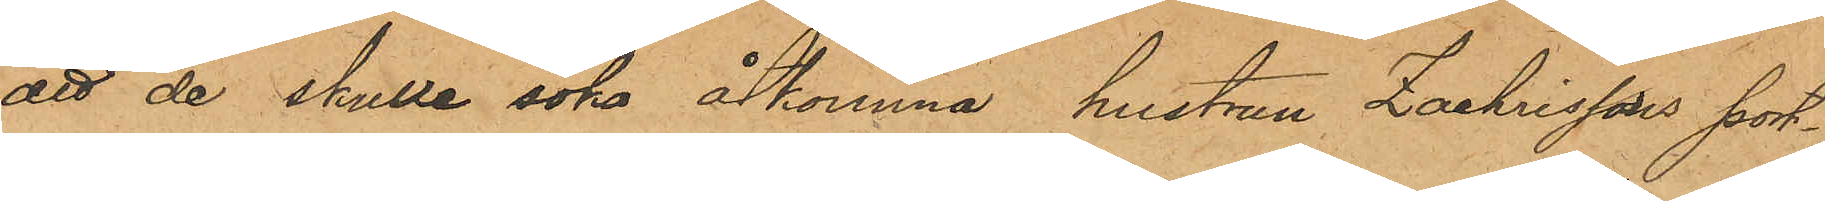att de skulle söka åtkomma hustrun Zachrissons port¬
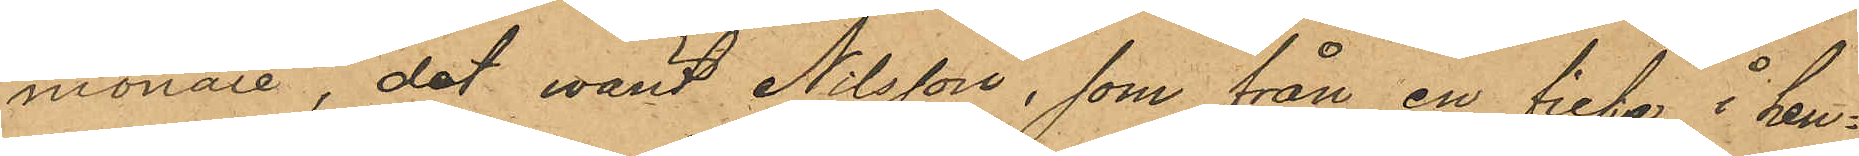monaie, det warit Nilsson, som från en ficka i hen¬
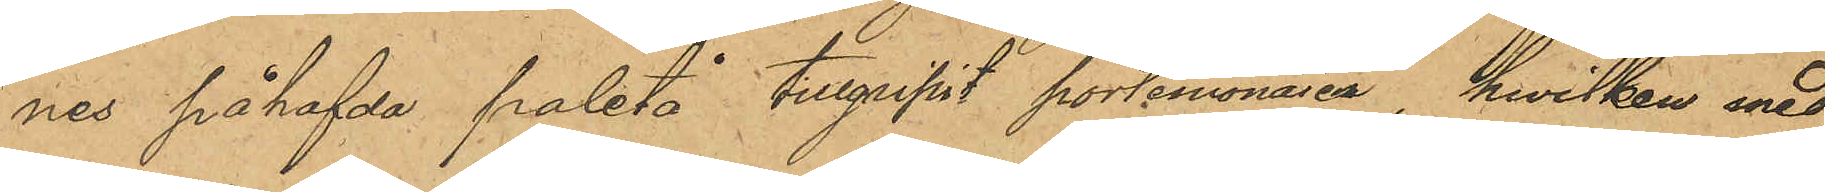nes påhafda paletå tillgripit portmonaien, hwilken med
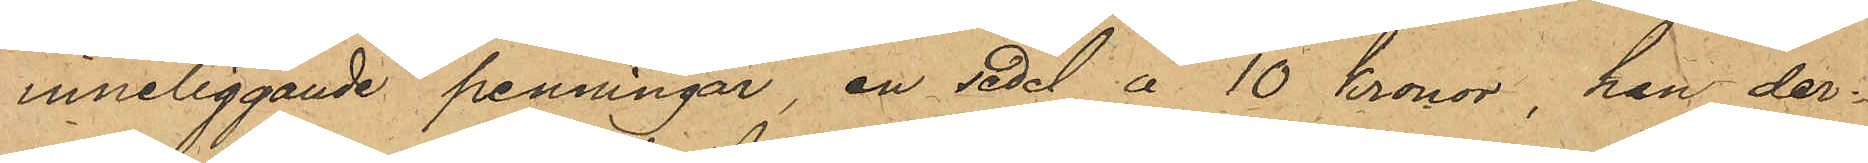inneliggande penningar, en sedel à 10 kronor, han der¬
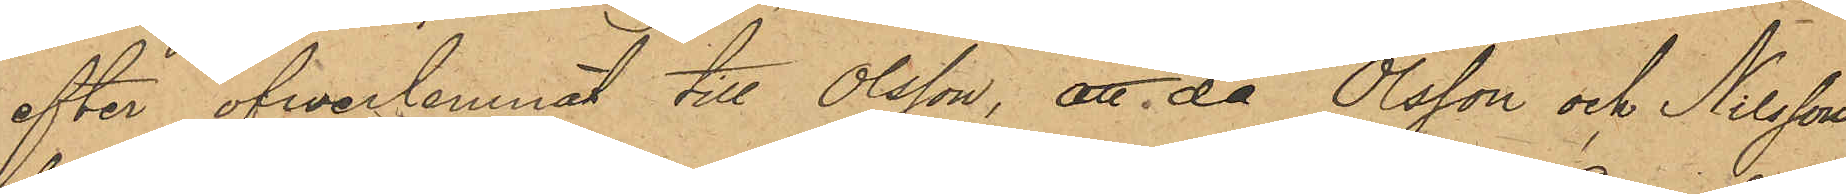efter öfverlemnat till Olsson, att då Olsson och Nilsson
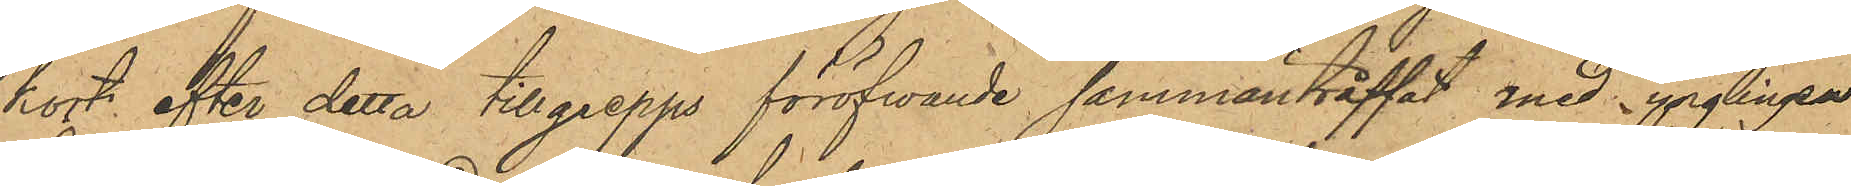kort efter detta tillgrepps föröfwande sammanträffat med ynglingen
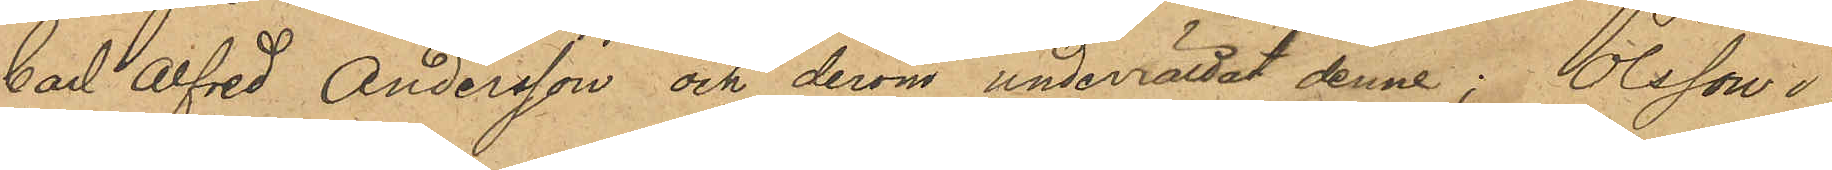Carl Alfred Andersson och derom underrättat denne; Olsson i
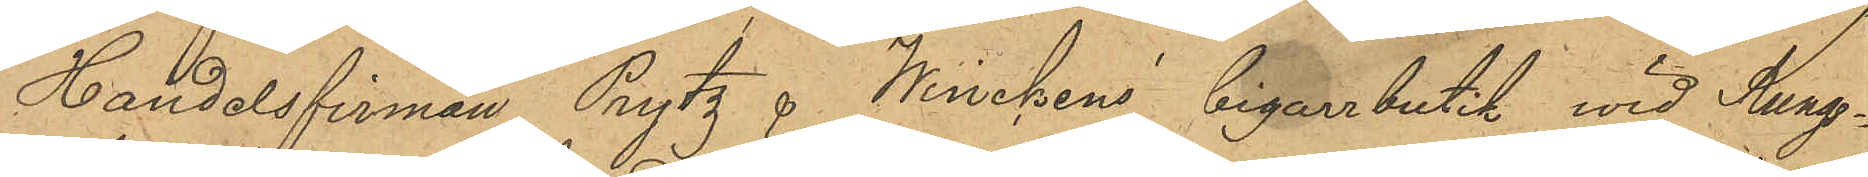Handelsfirman Prytz & Winckens' Cigarrbutik vid Kungs¬
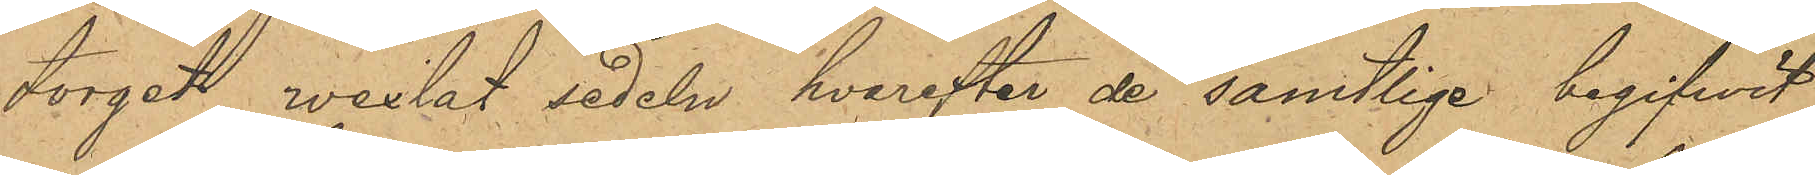torgat wexlat sedeln, hvarefter de samtlige begifvit
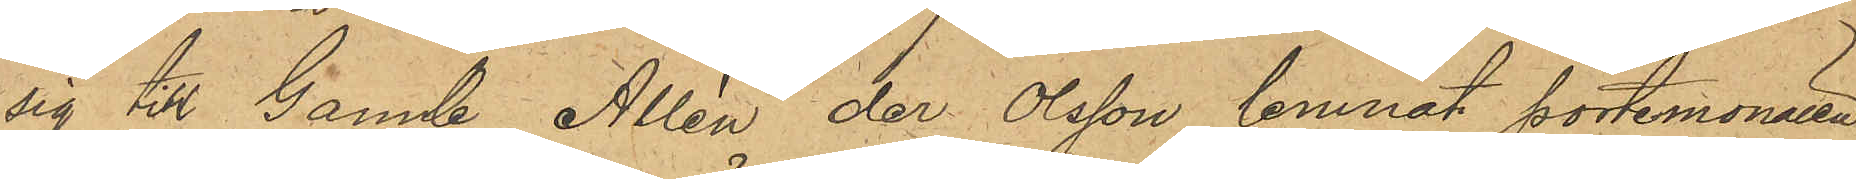sig till Gamle Allén der Olsson lemnat portemonaien
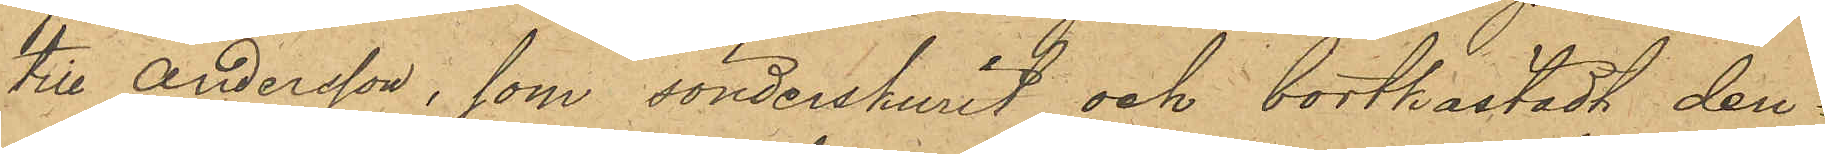till Andersson, som sönderskurit och bortkastadt den¬
